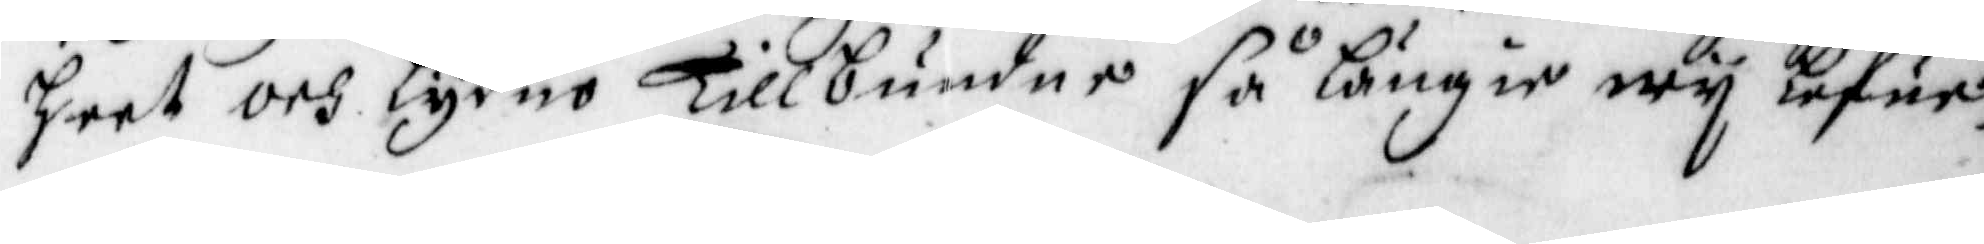heet och lydno Tillbundne så längie wij lefue.
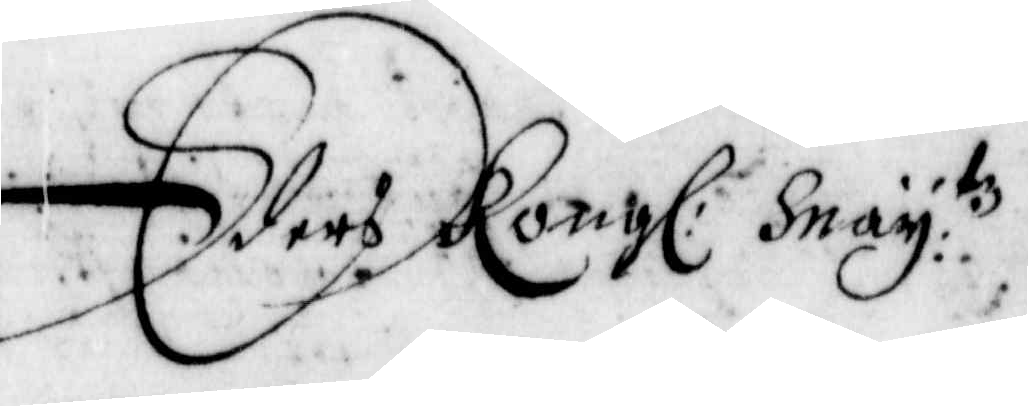Eders Kongl: May:tz
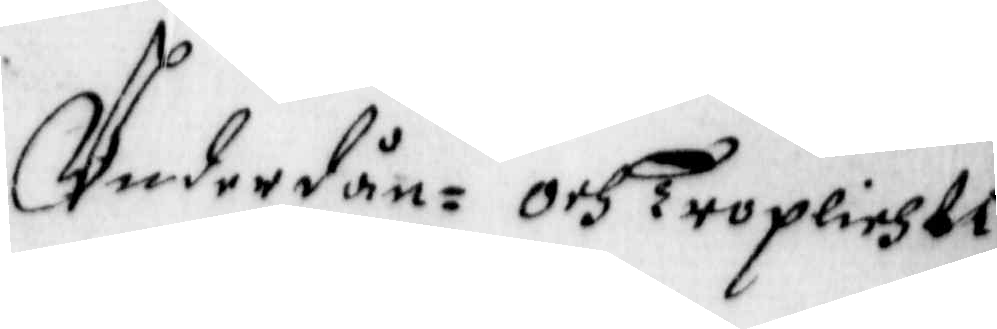Underdån= och Troplichti¬
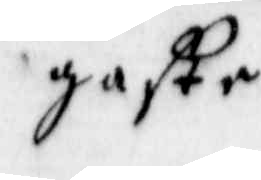gaste
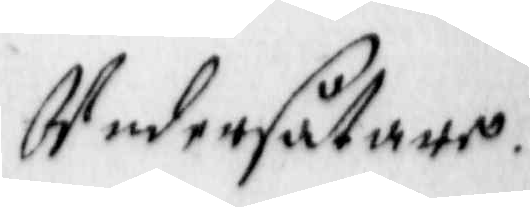Undersåtare.
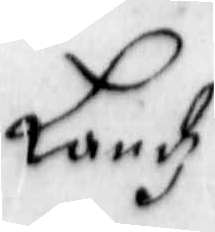Landz
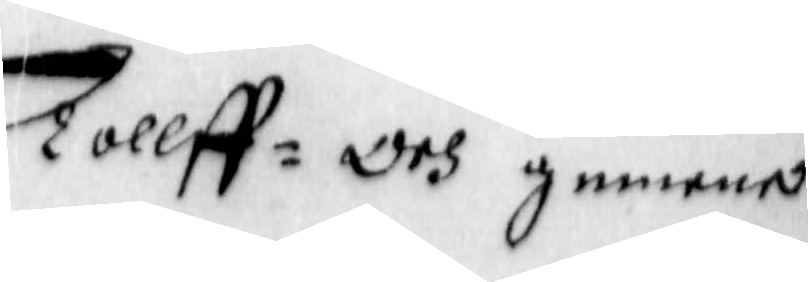Tolff= Och gemene
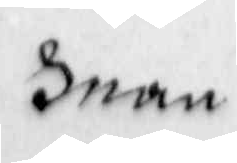man
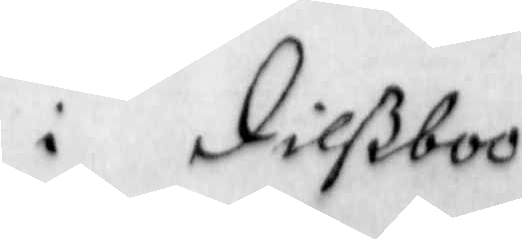i Dilßboo
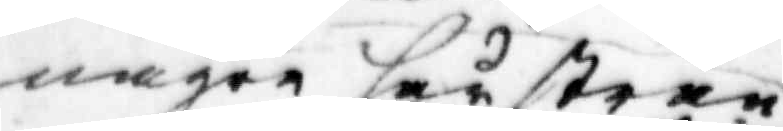några små strån
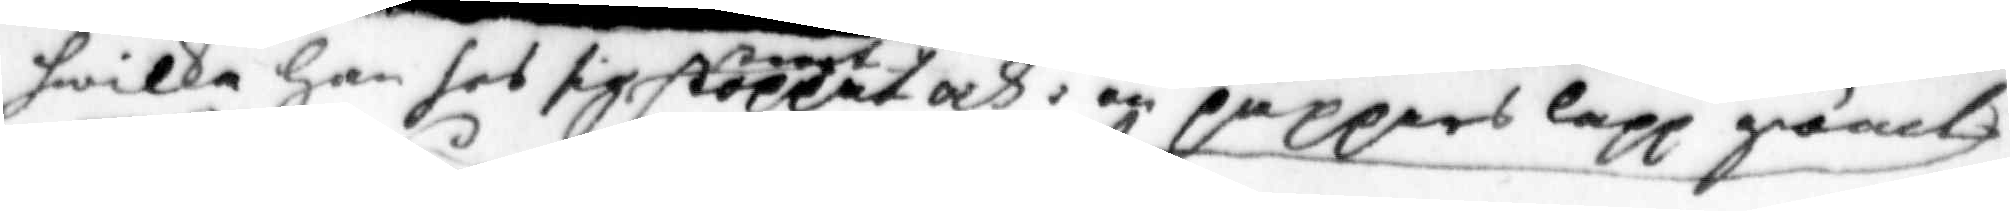hwilka han hos sig stoppat och i en papperslapp gömd
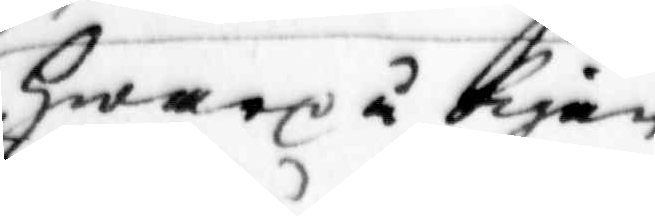hwarpå å pigan
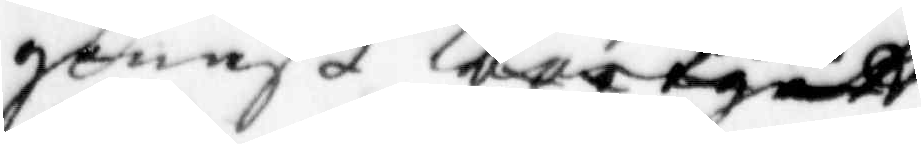genast bartguff
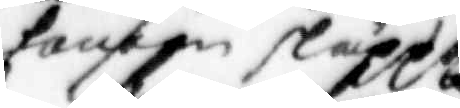honom släppt
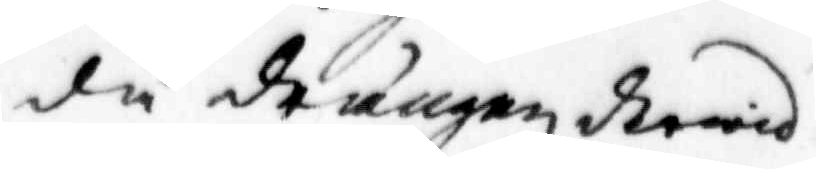då frängen derwid
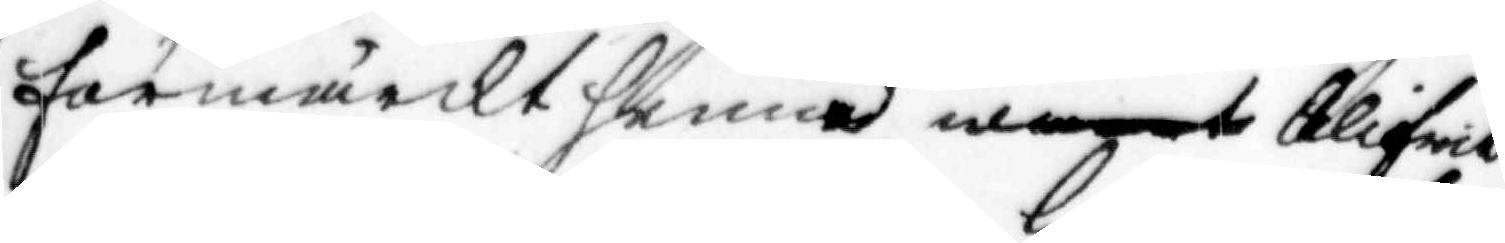förmärckt henne w blifwit
